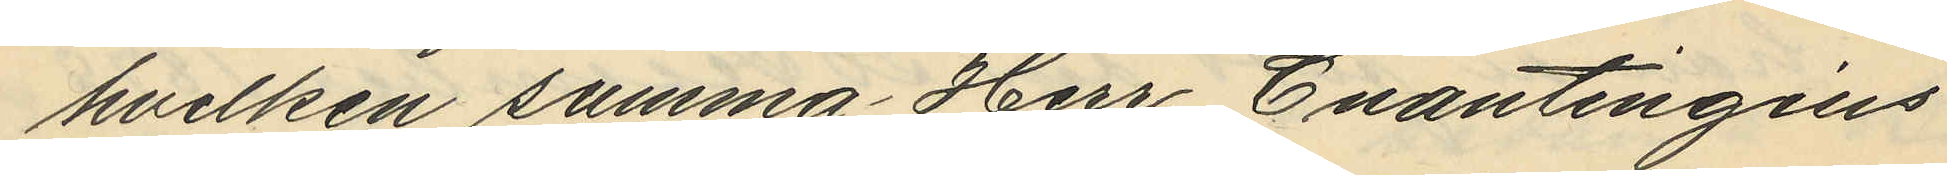hvilken summa Herr Enantingius
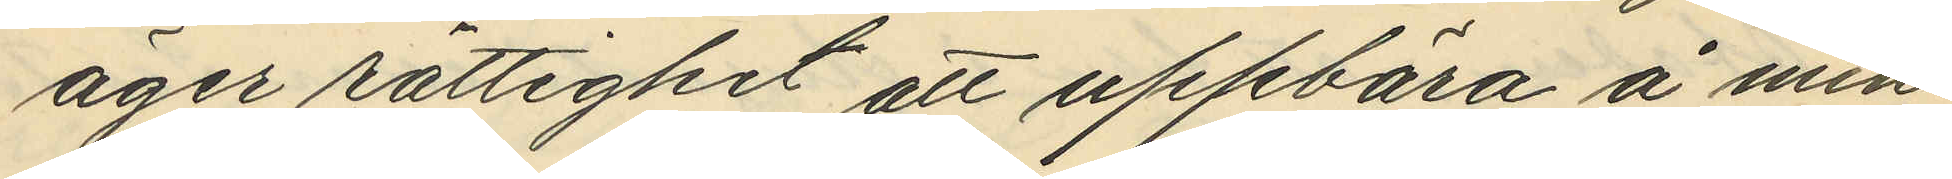äger rättighet att uppbära å min
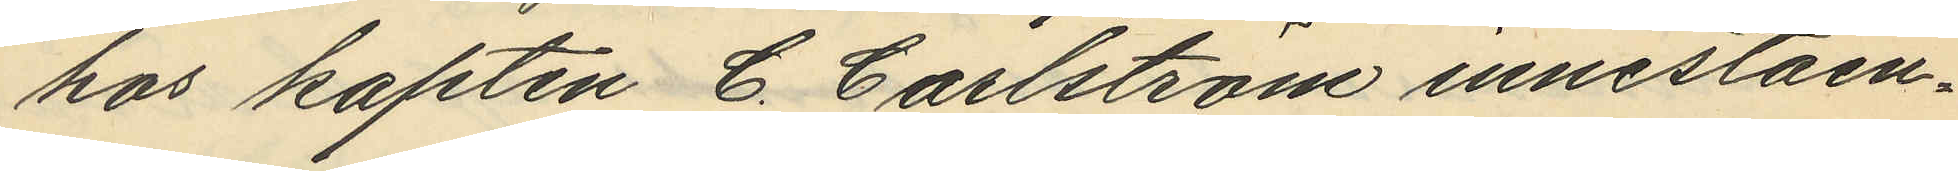hos kapten C. Carlström inneståen¬
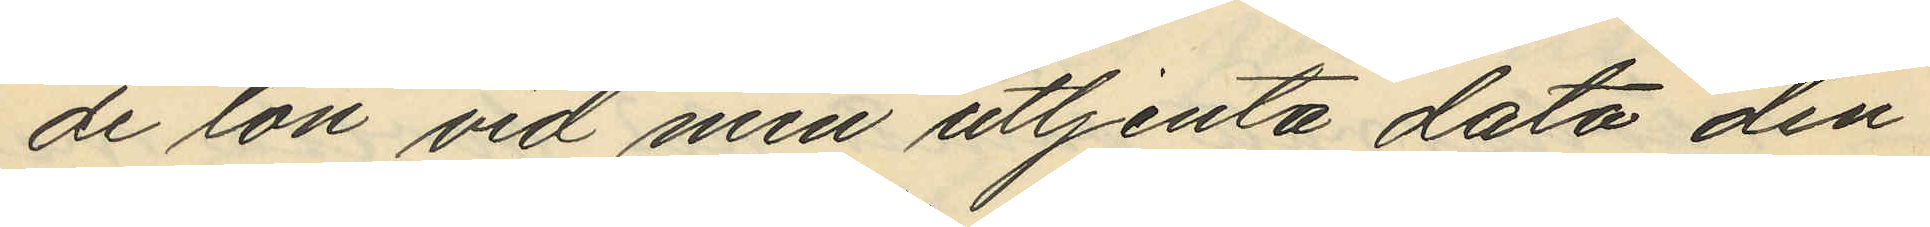de lön vid min uttjenta dato den
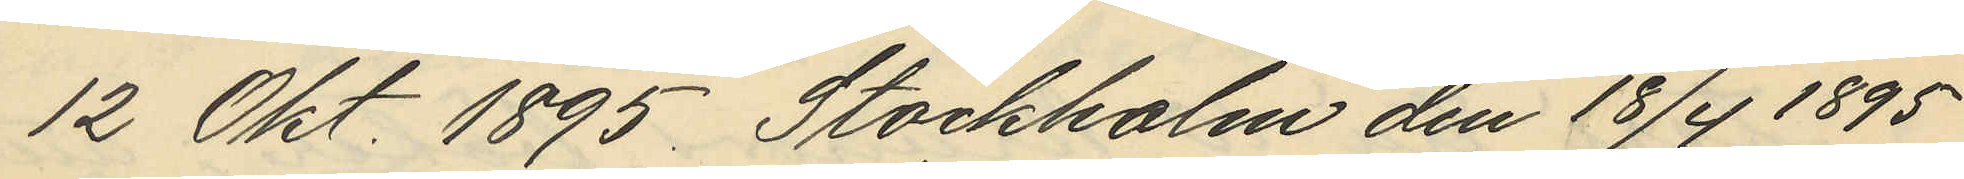12 Okt. 1895. Stockholm den 18/4 1895
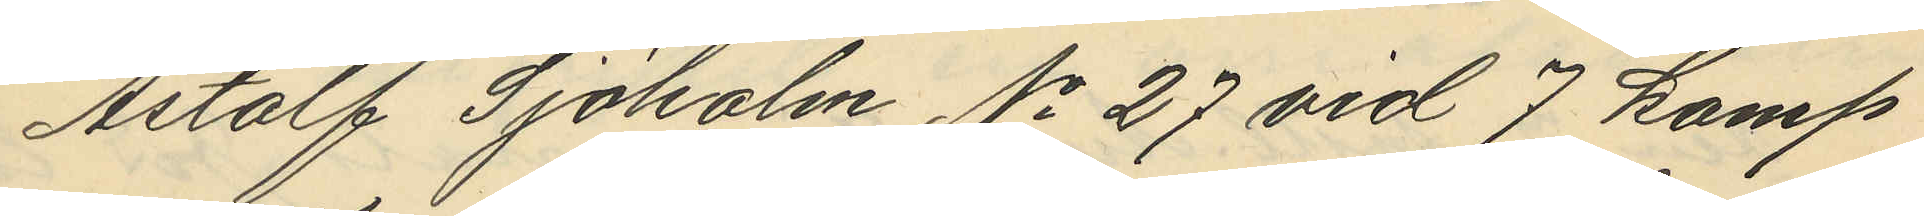Astolf Sjöholm No 27 vid 7 komp
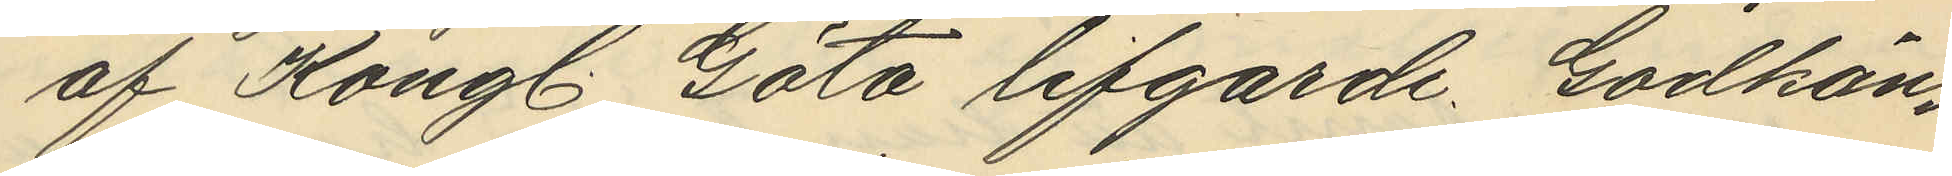af Kongl. Göta lifgarde Godkän¬
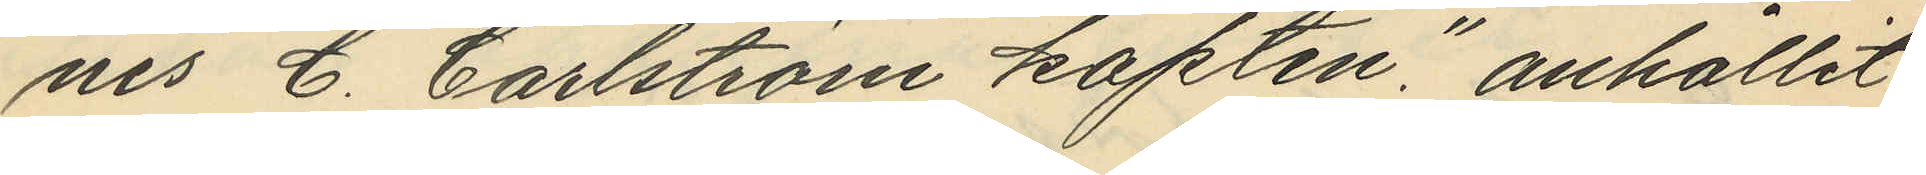nes C. Carlström kapten: anhållit
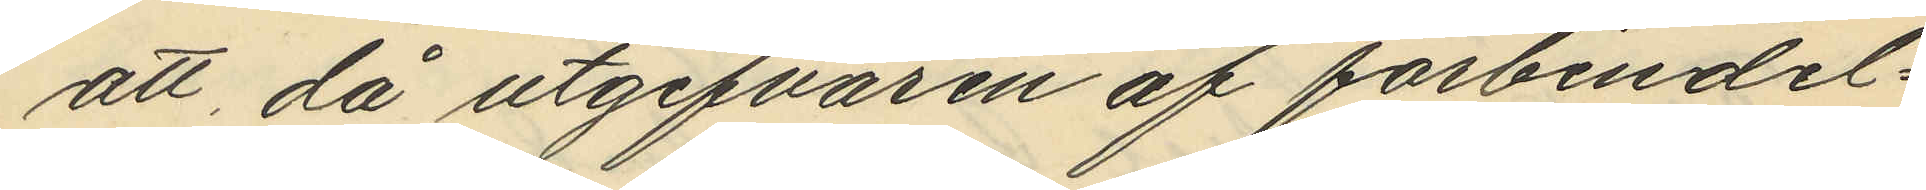att då utgifvaren af förbindel¬
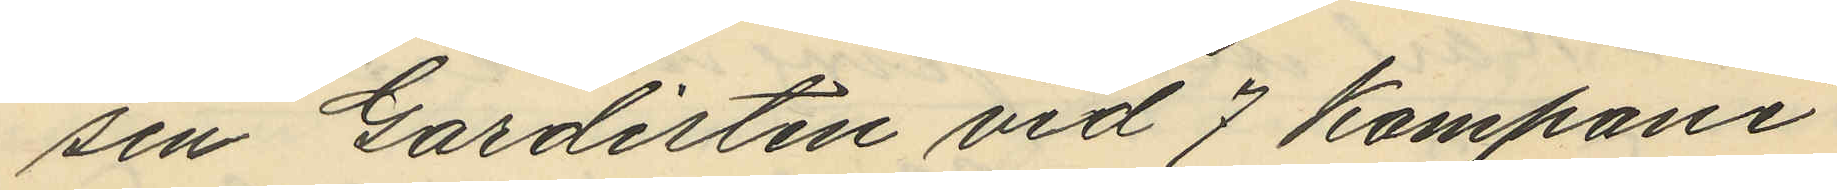sen Gardisten vid 7 kompani
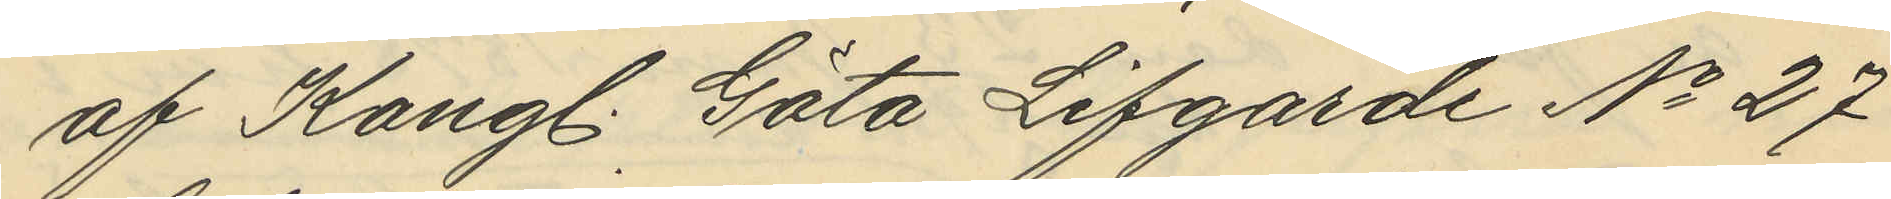af Kongl. Göta Lifgarde No 27
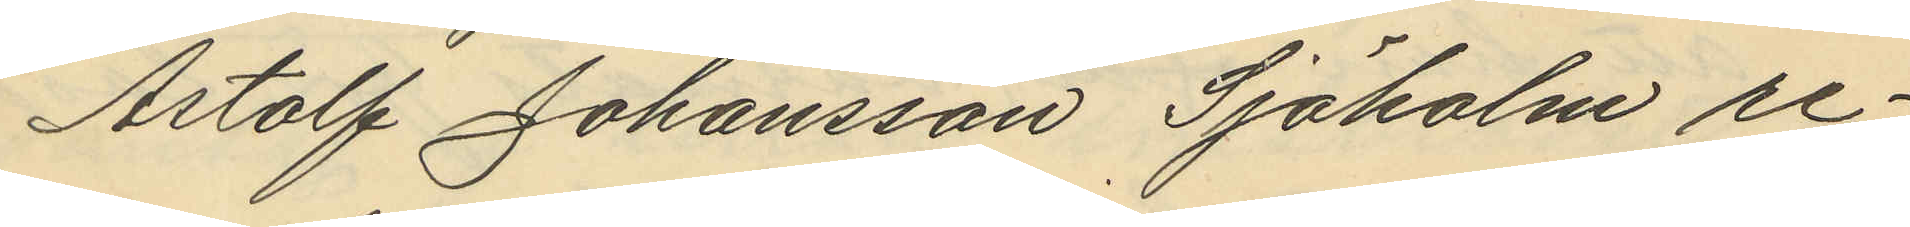Astolf Johansson Sjöholm re¬
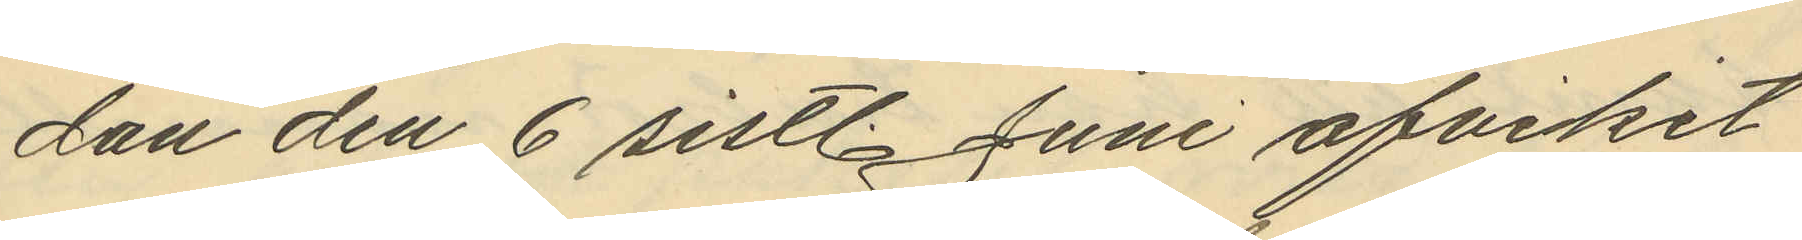dan den 6 sistl. Juni afvikit
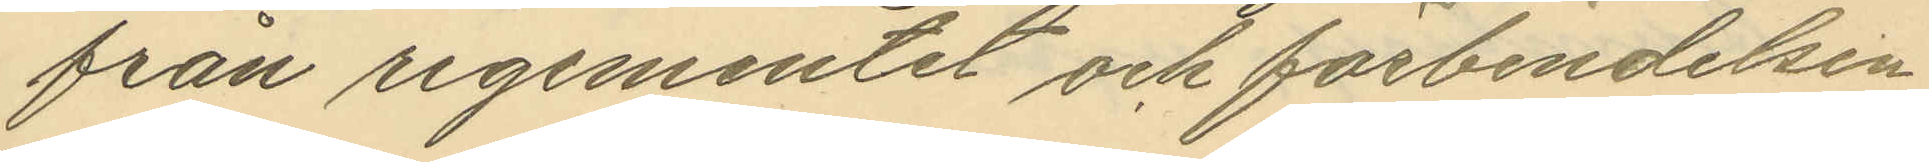från regementet och förbindelsen
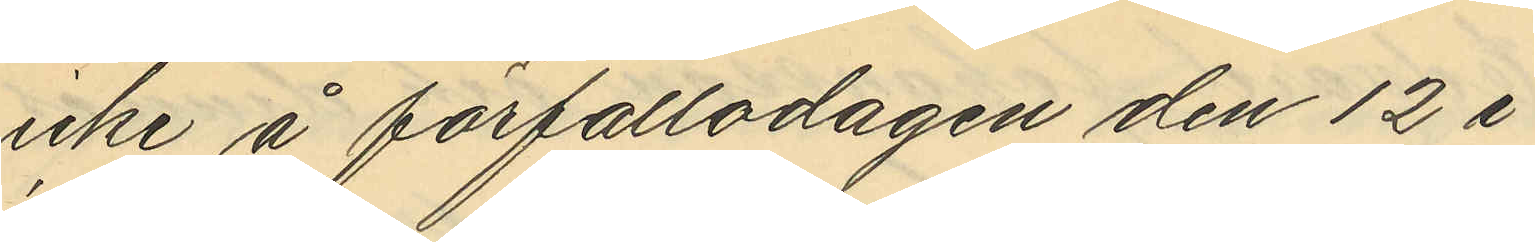icke å förfallodagen den 12 i
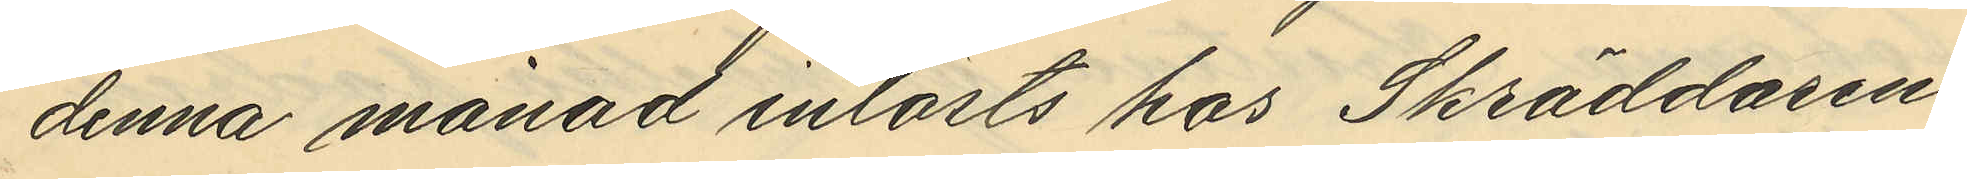denna månad inlösts hos Skräddaren
